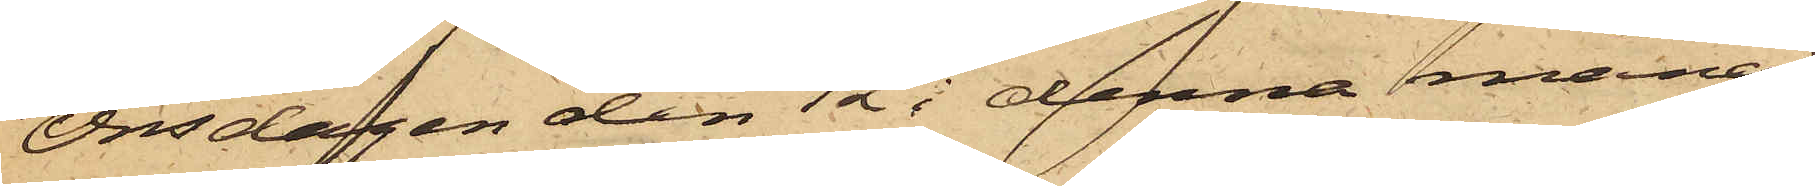Onsdagen den 12 i denna månad
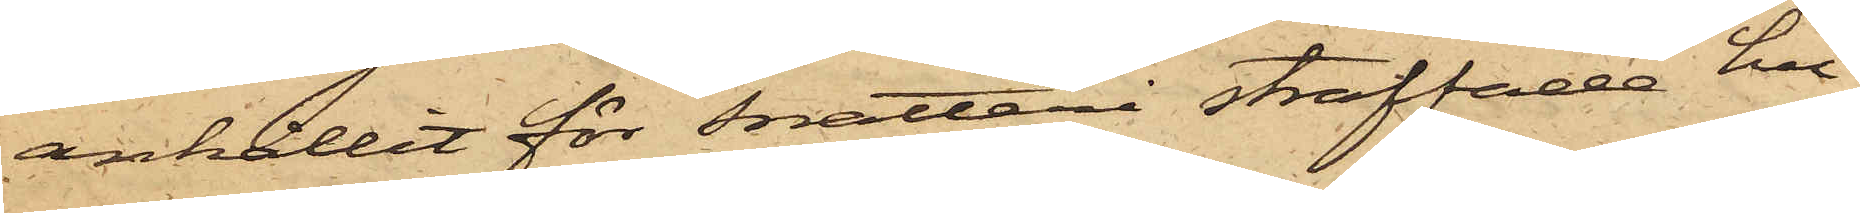anhållit för snatteri straffade hu¬
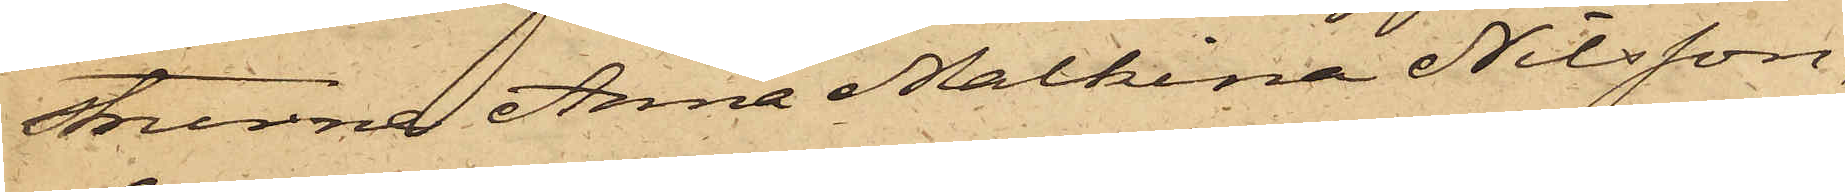strurna Anna Malkina Nilsson,
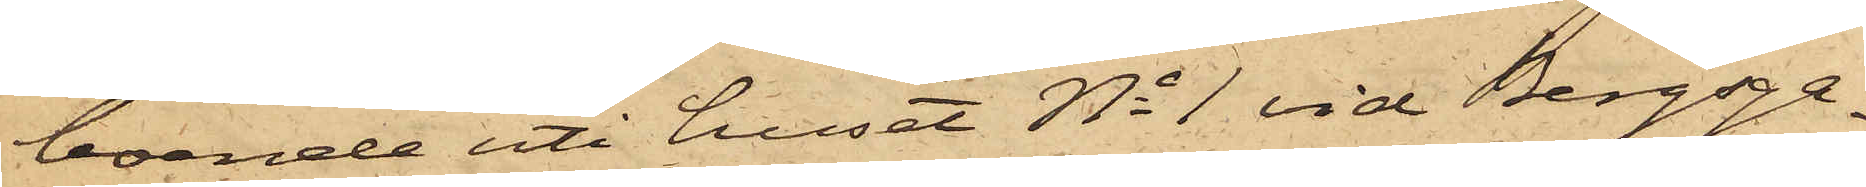boende uti huset No 1 vid Bergsga¬
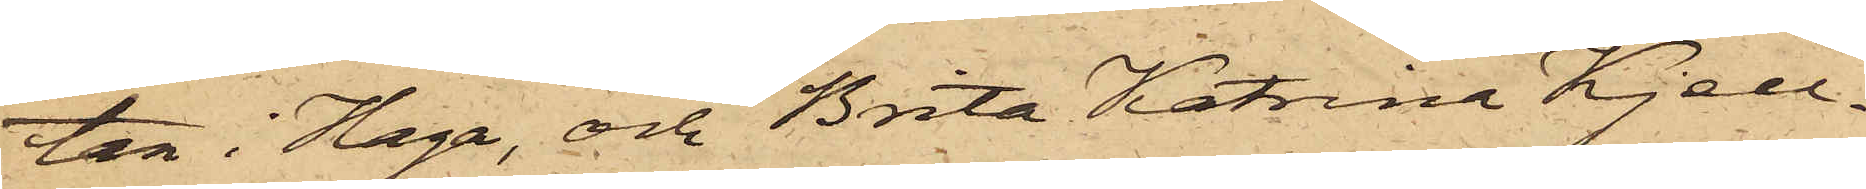tan i Haga, och Brita Katrina Kjell¬
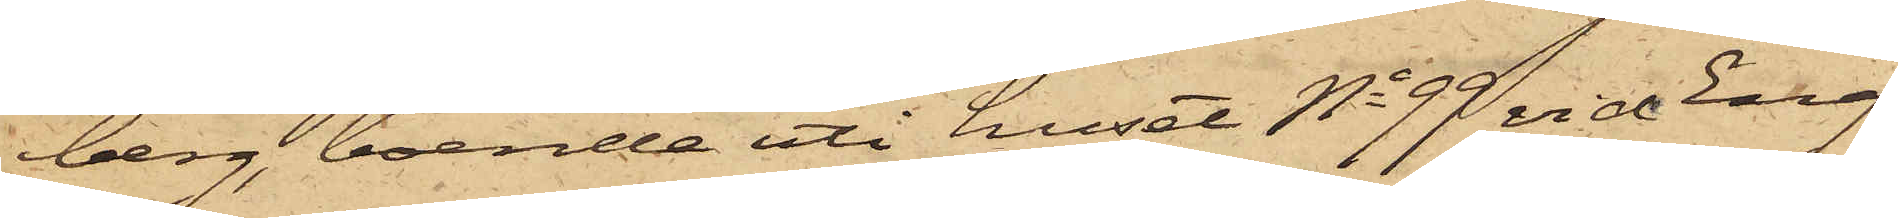berg, boende uti huset No 99 vid Eng¬
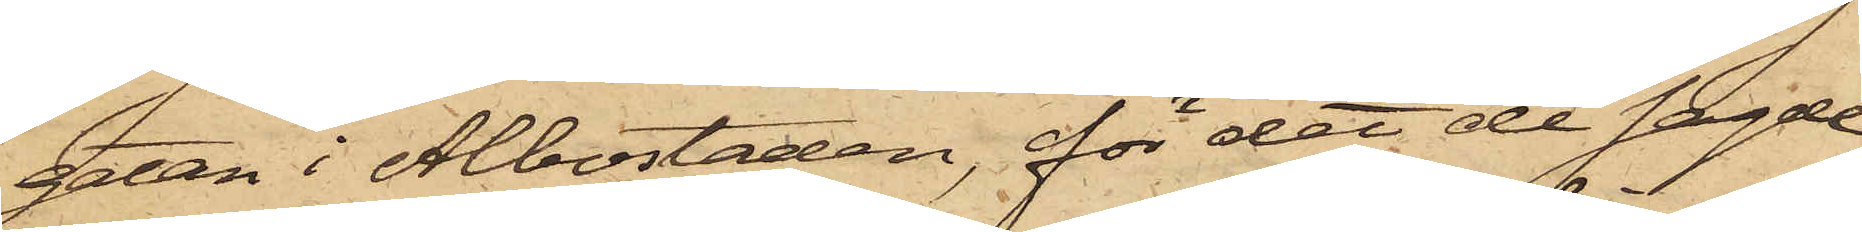gatan i Albostaden, för det de sagde
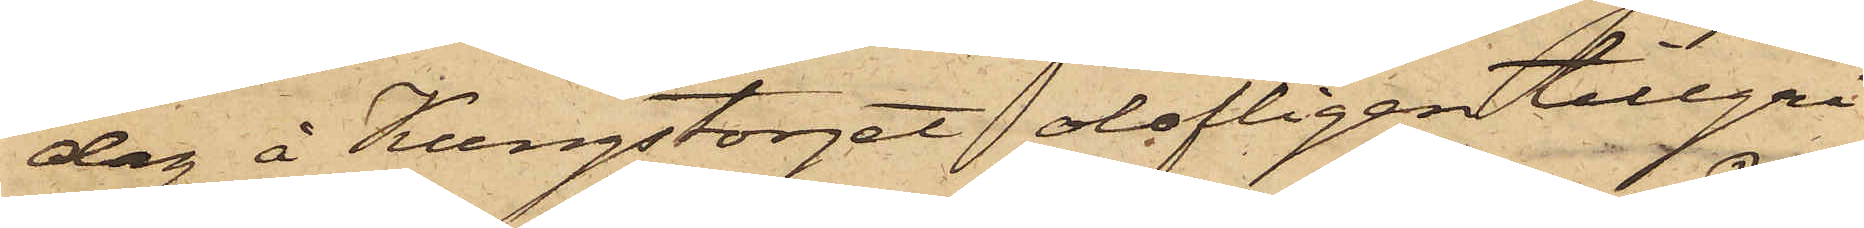dag å Kungstorget olofligen tillgri¬
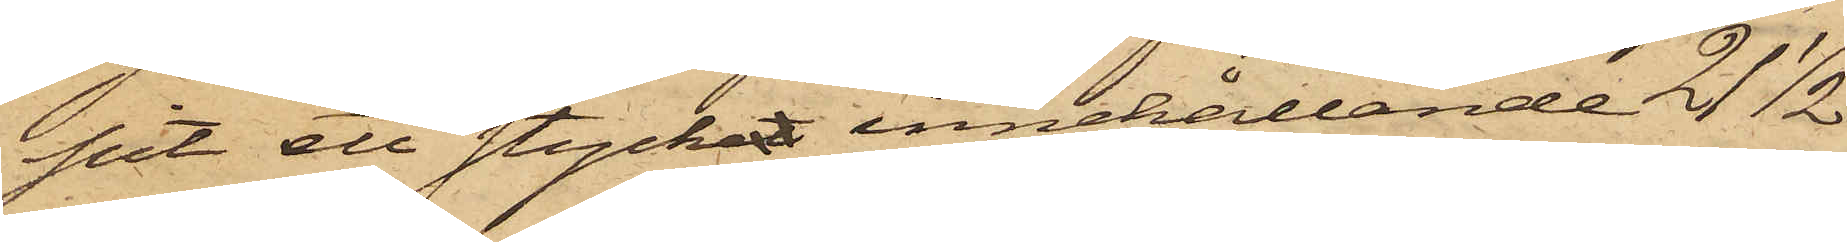pit ett stycket, innehållande 21 1/2
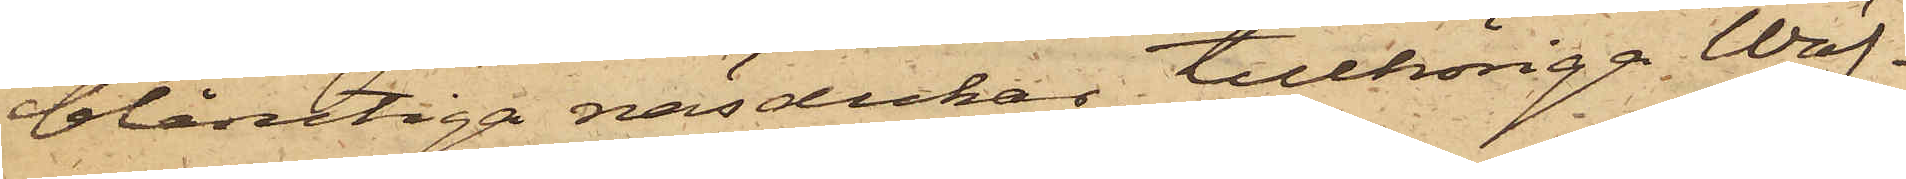blårutiga näsdukar, tillhöriga Wäf¬
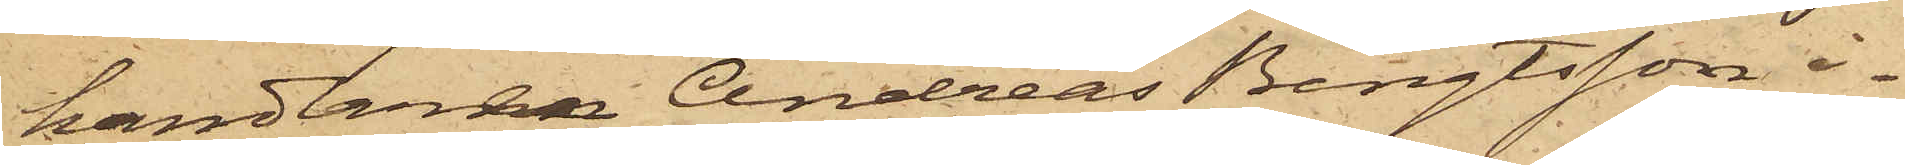handlaren Andreas Bengtsson i¬
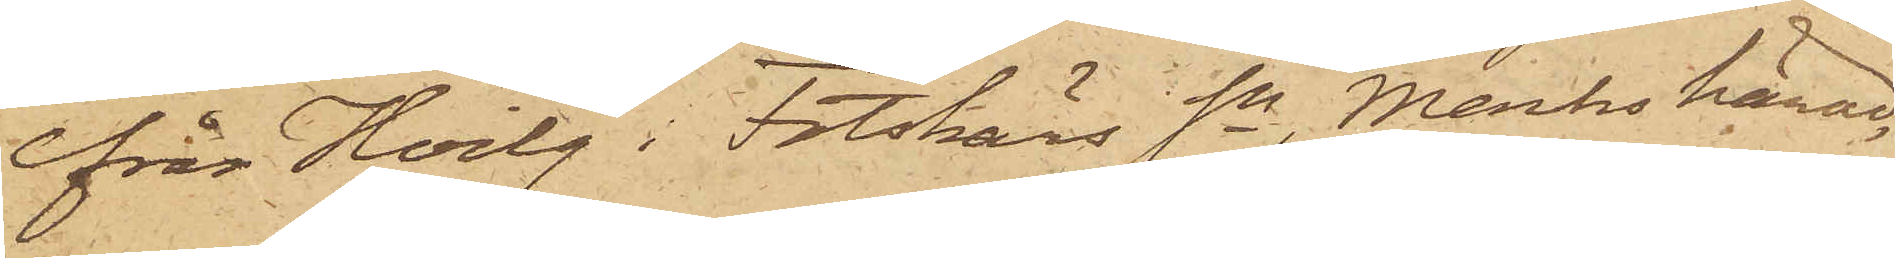från Hvilg i Fotskärs Sn, Marks härad,
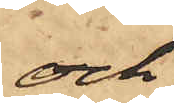och
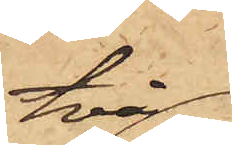två
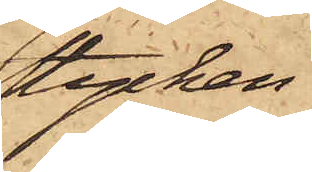stycken
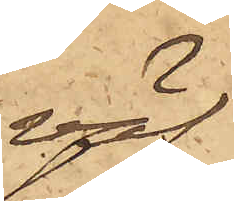väf,
